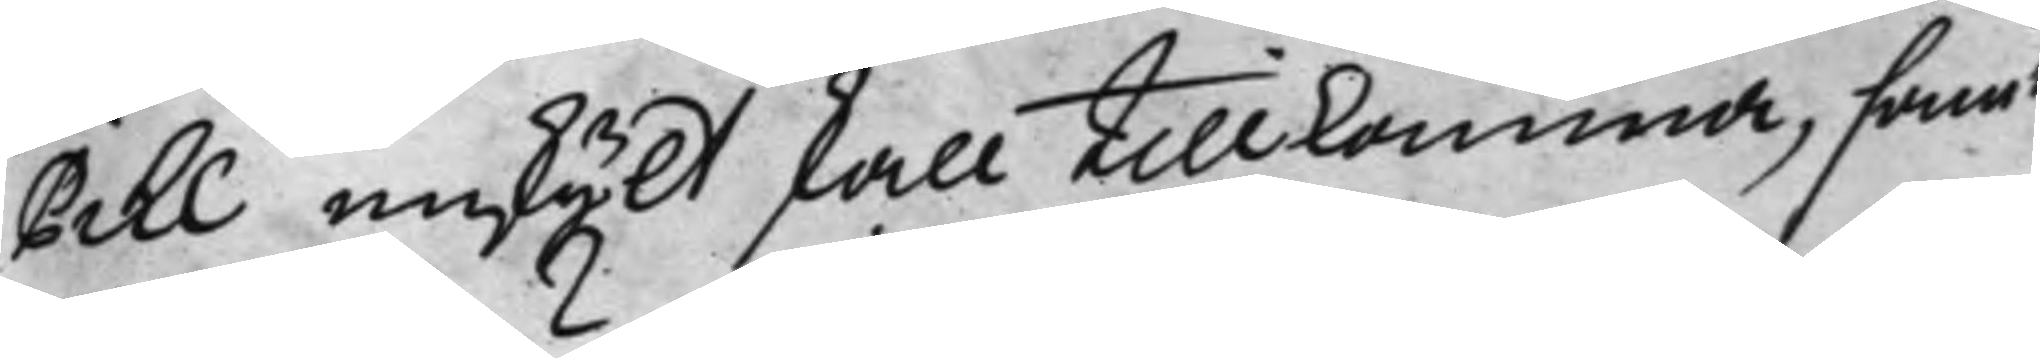Pihl enskijlt skall tillkomma, samt
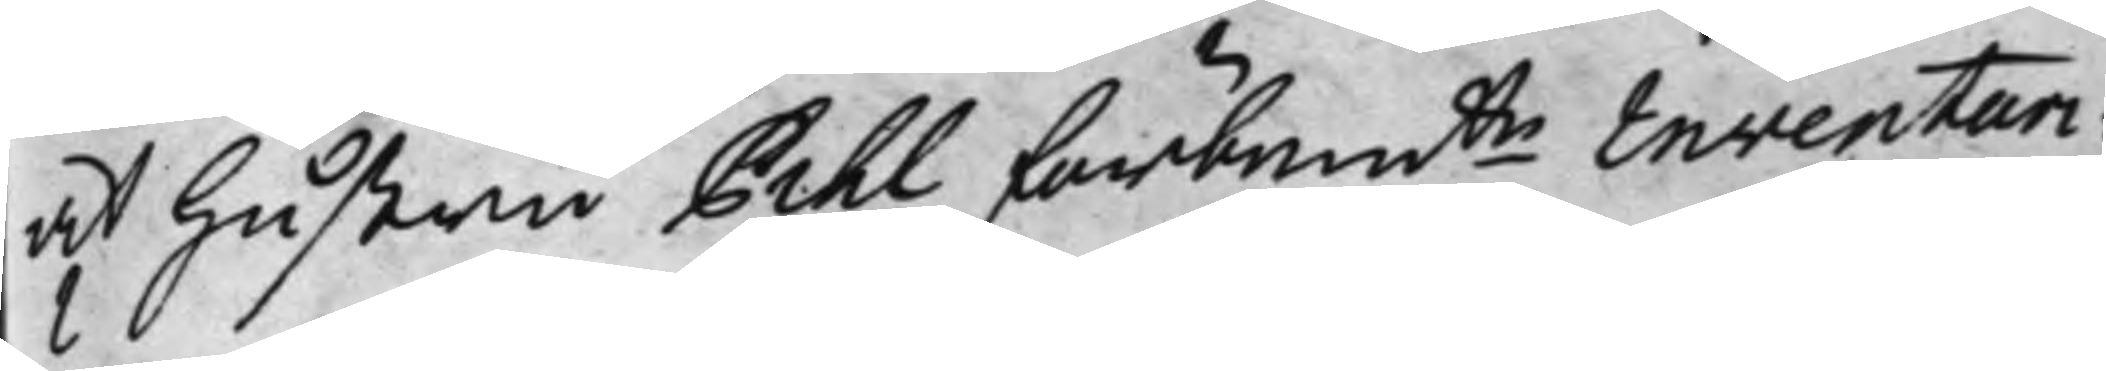at Hustru Pihl förbemte inventari¬ 
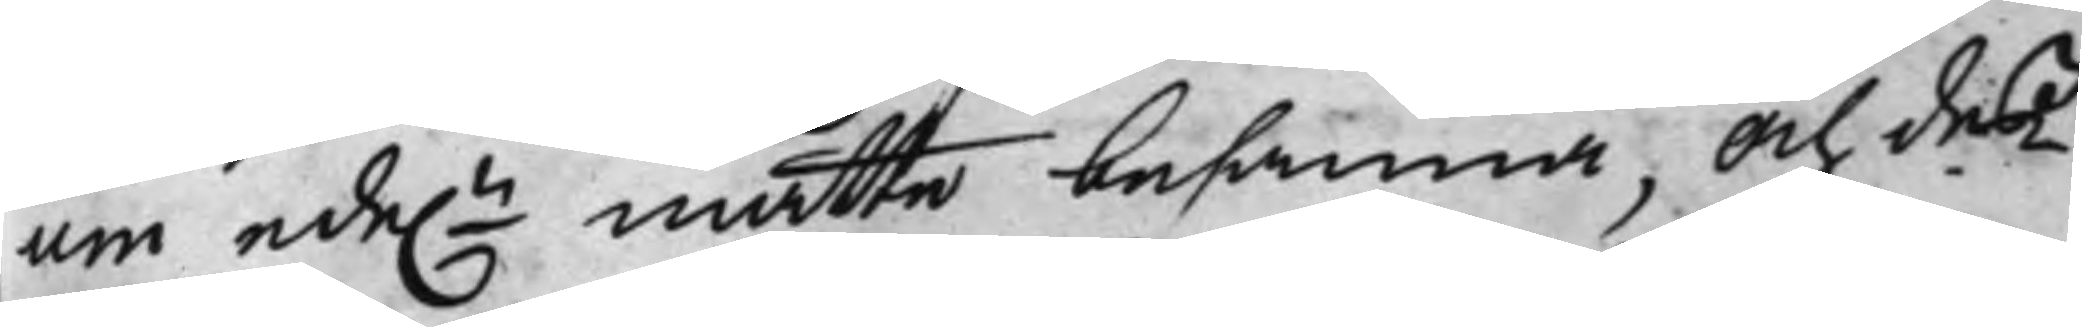um ede.n måtte besanna, och deß 
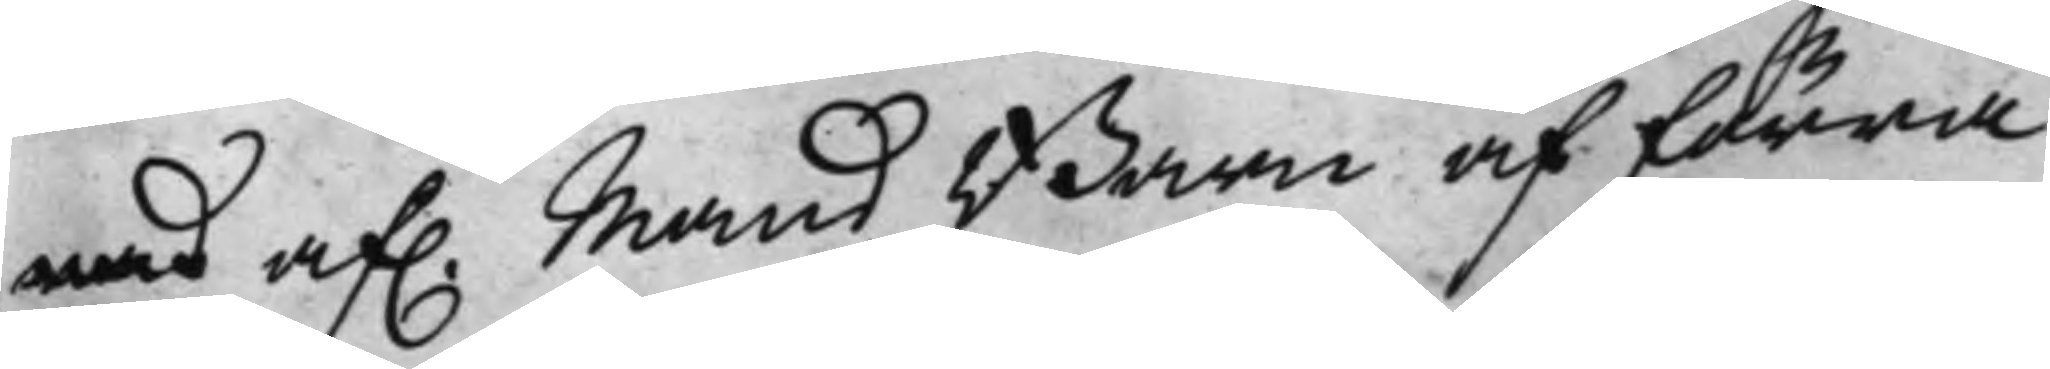med af. Mans Barn af förra 
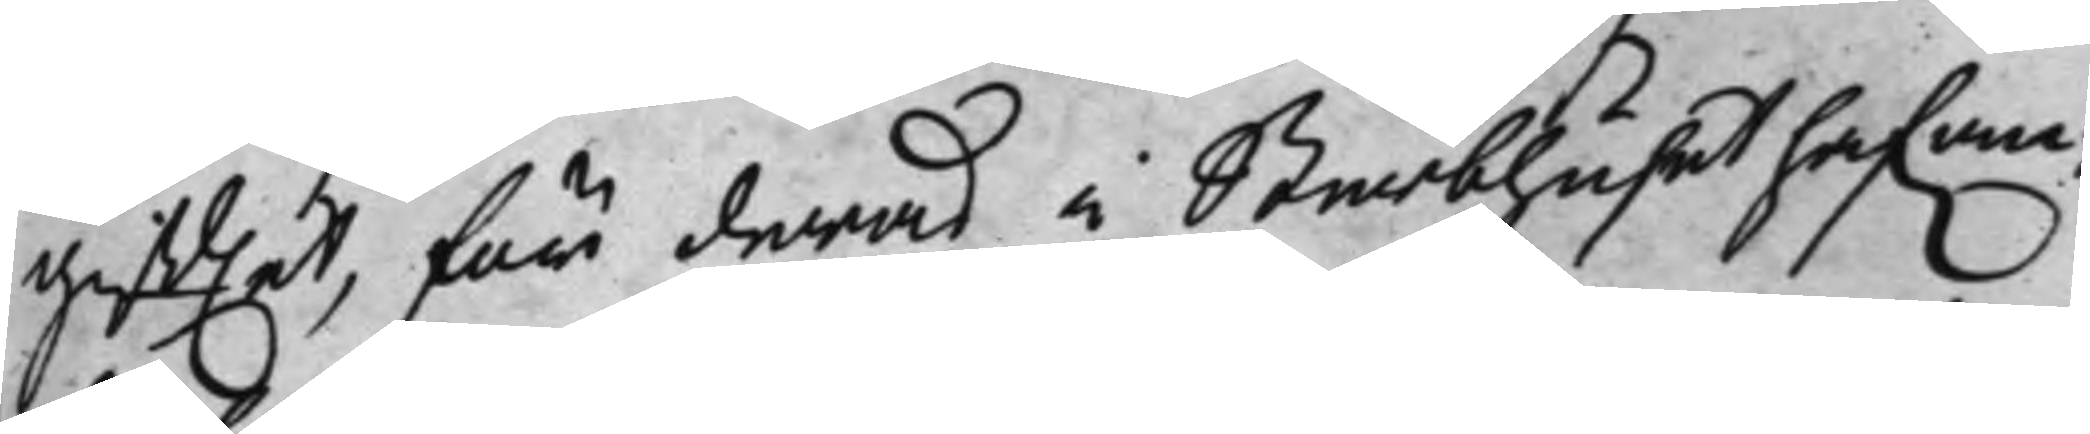gifftet, för deras i Sterbhuset hafwan¬
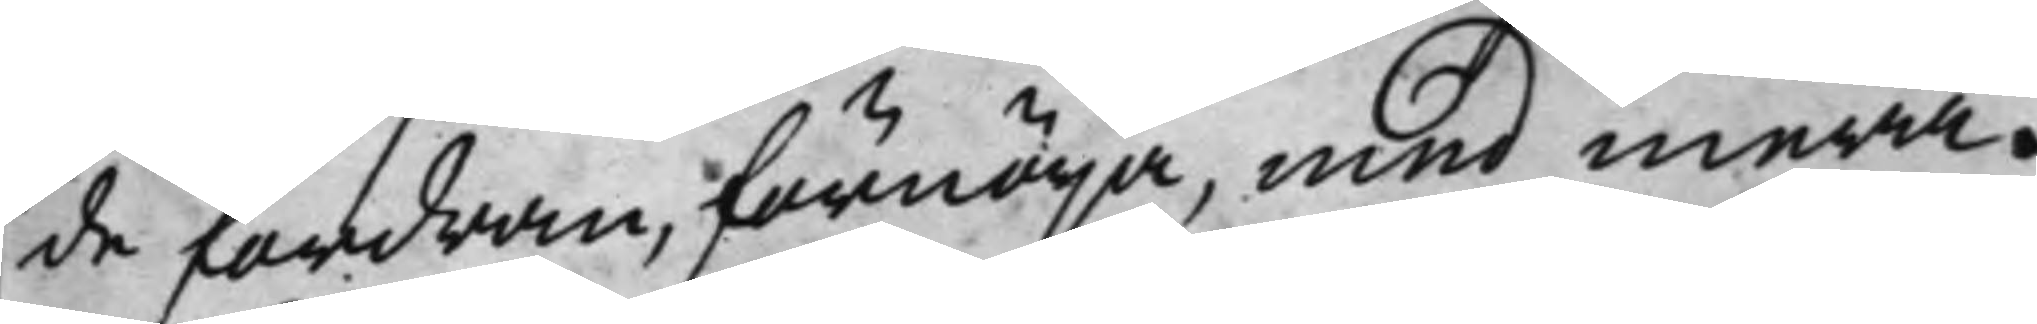de fordran, förnöija, med mera.
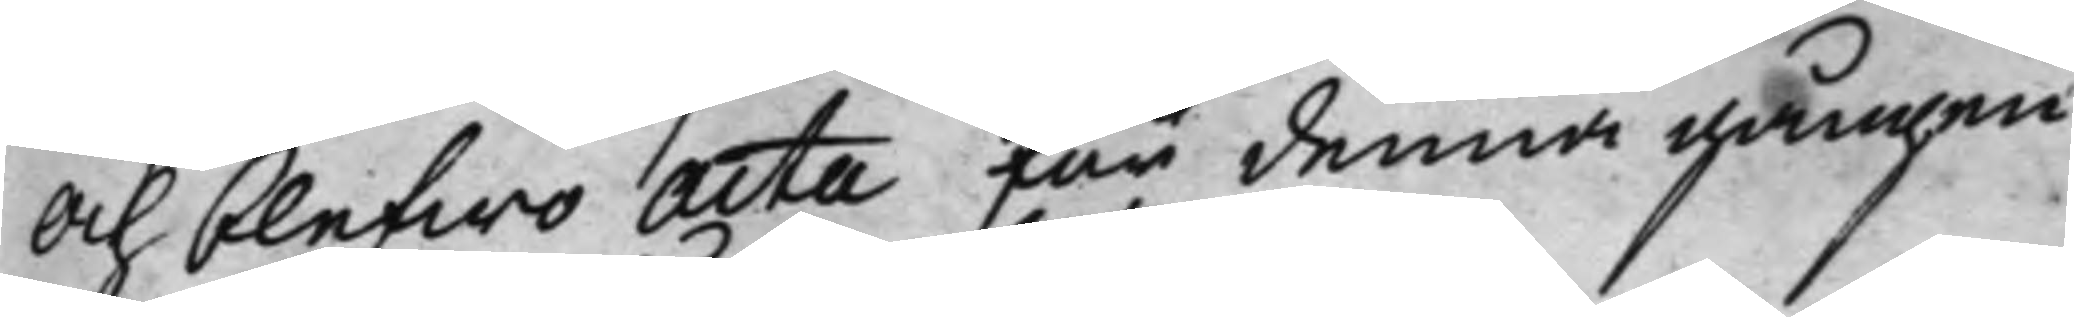Och blefwo Acta för denna gången
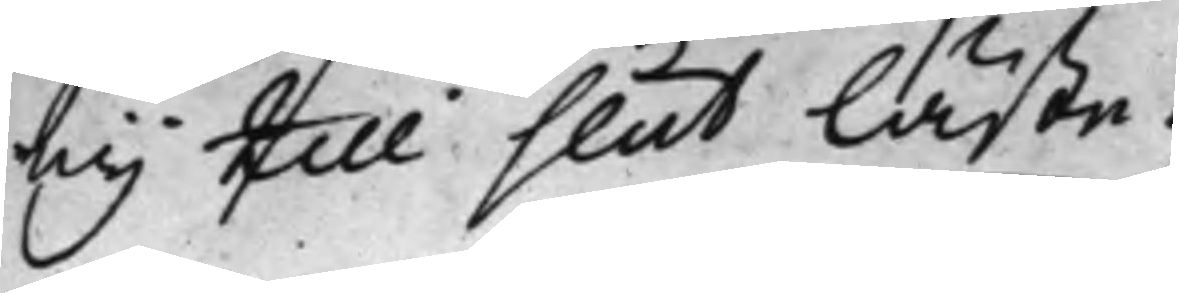eij till slut läste.
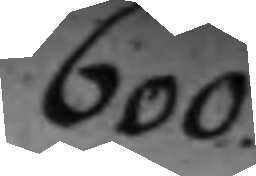600.
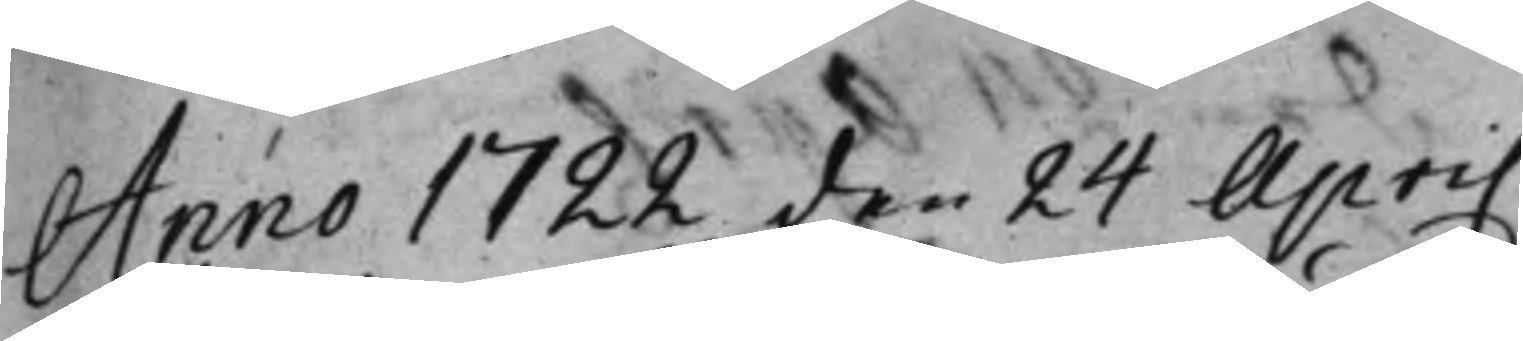Anno 1722 den 24 April.
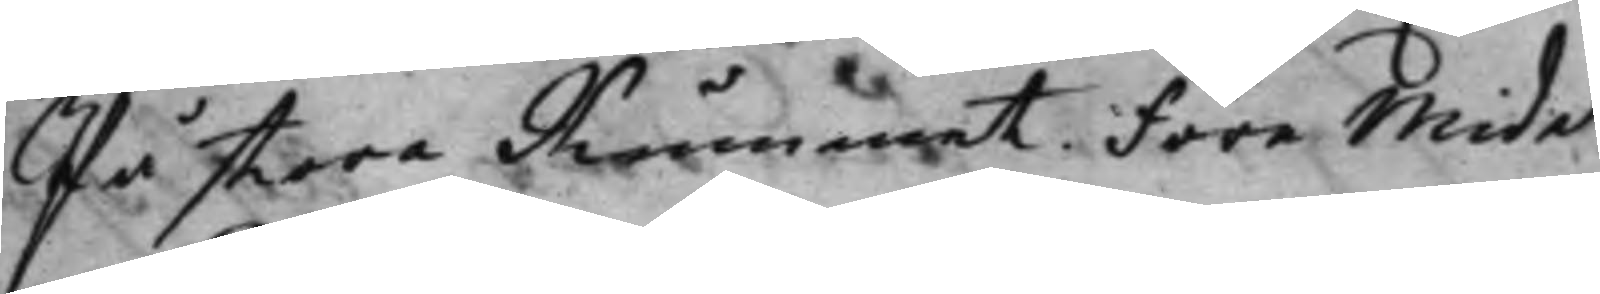På stora Rummet. Före Midd.
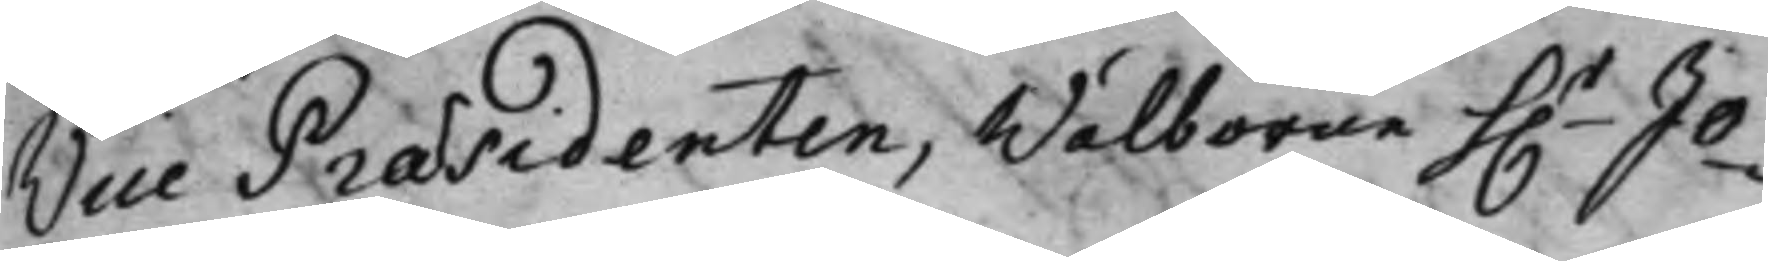Vice Præsidenten, Wälborne H.r Jo¬ 
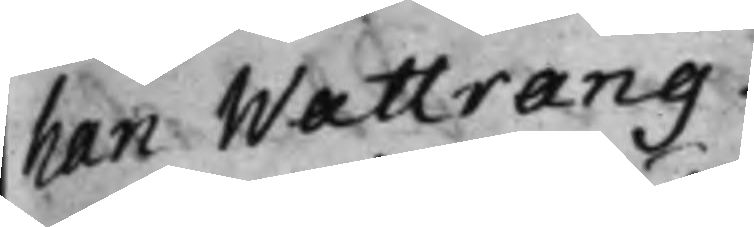han Wattrang.
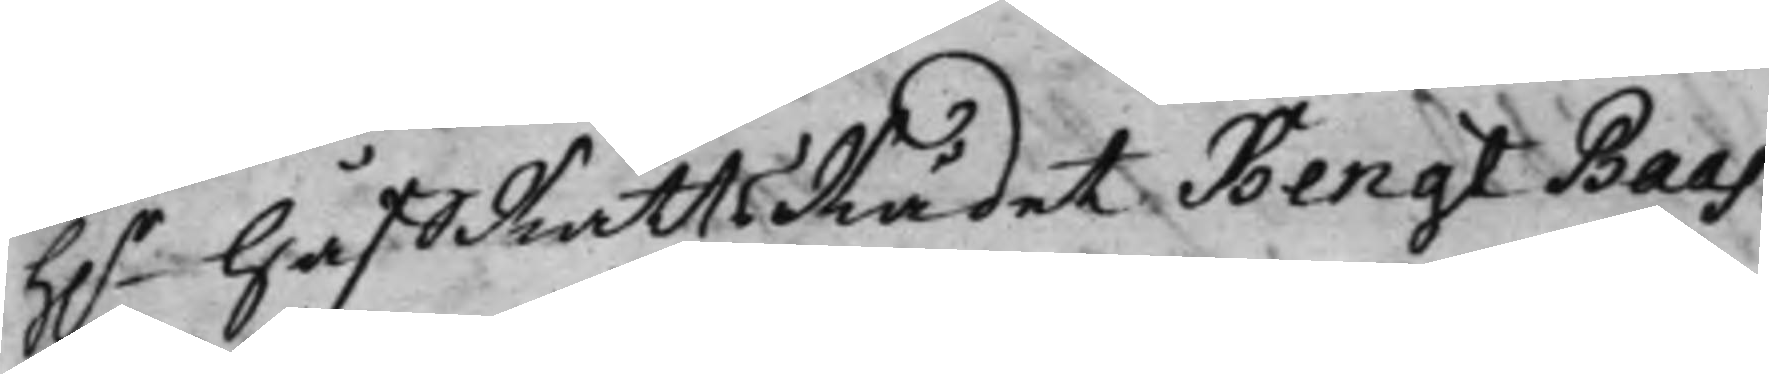h.r HåffRättsRådet Bengt Baas. 
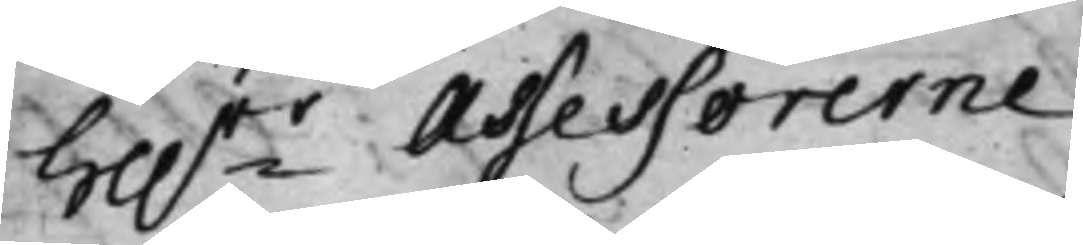He.rr Assessorerne 
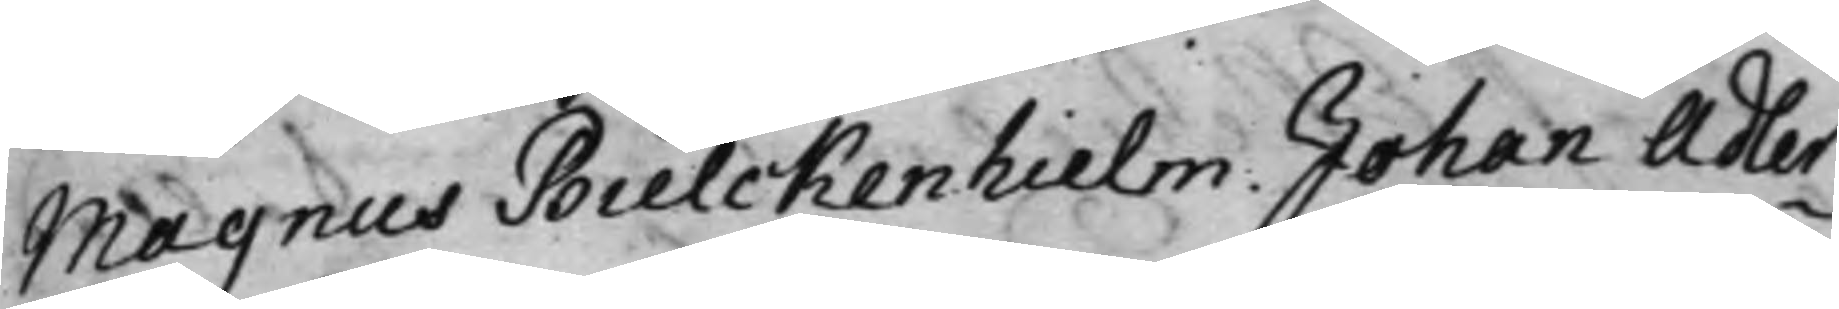Magnus Bielckenhielm. Johan Adler¬
